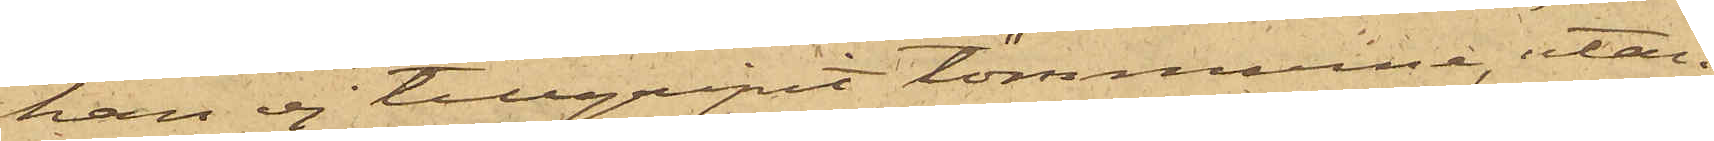han ej tillgripit tömmarne, utan
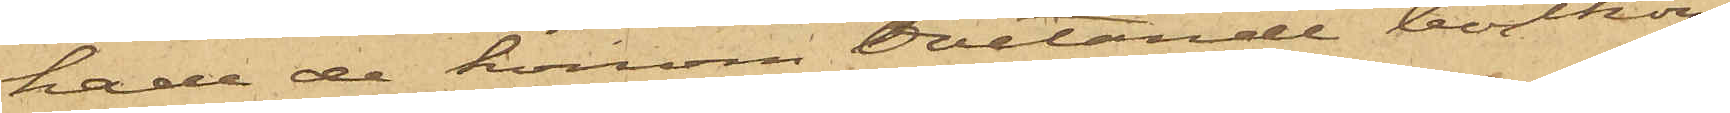hade de honom ovetande bortkom¬
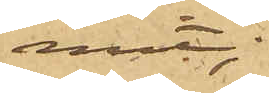mit;
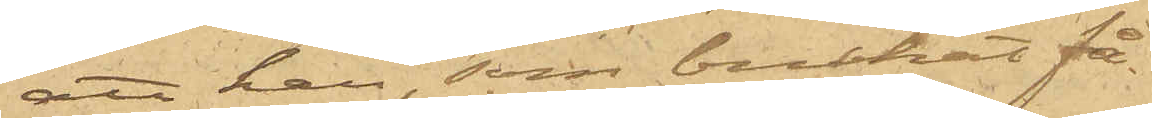att han, som brukat få
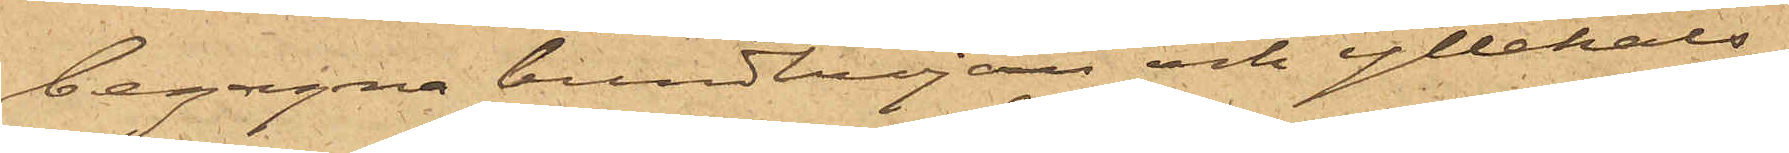begagna bundttröjan och yllehals¬
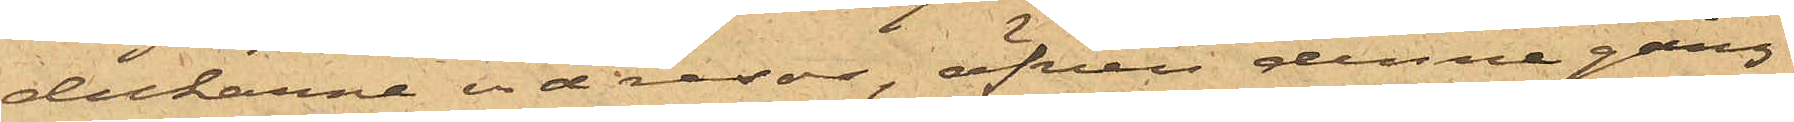dukarna vid resor, äfven denne gång
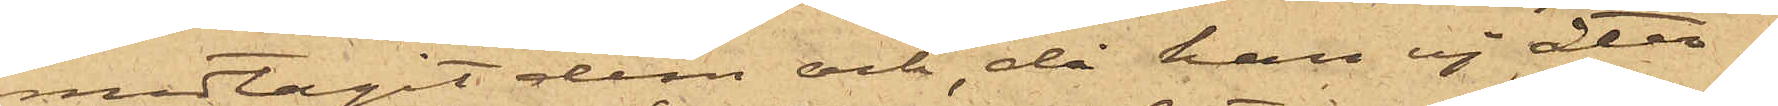medtagit dem och, då han ej åter¬
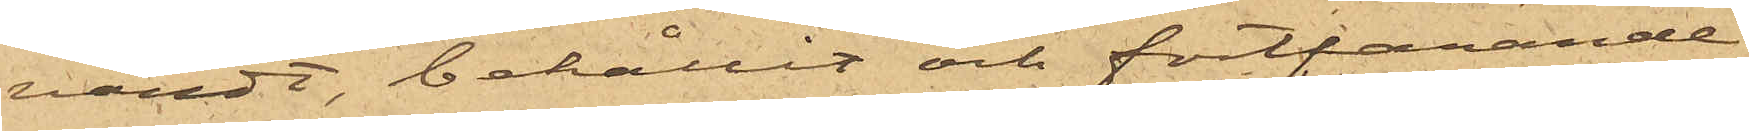vändt, behållit och fortfarande
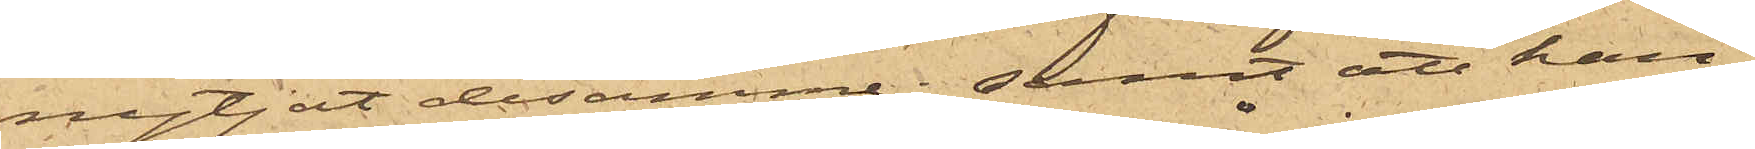nyttjat desamme; samt att han
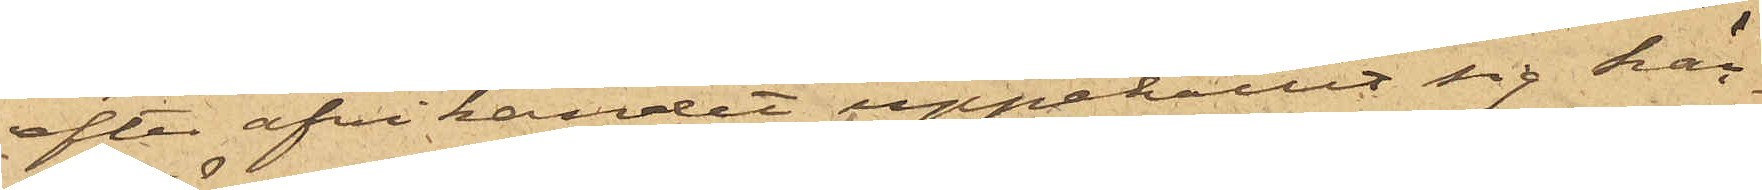efter afvikandet uppehållit sig här¬
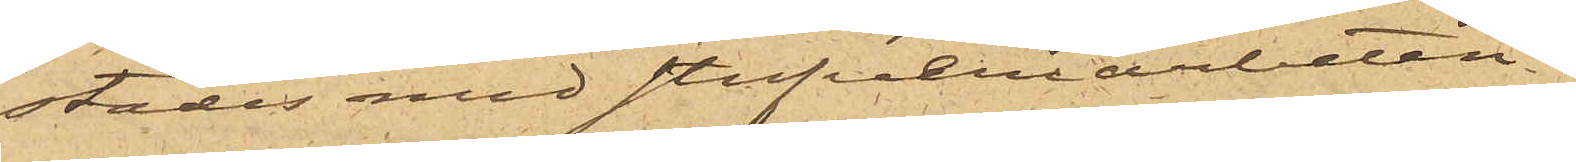städes med stufveriarbeten.
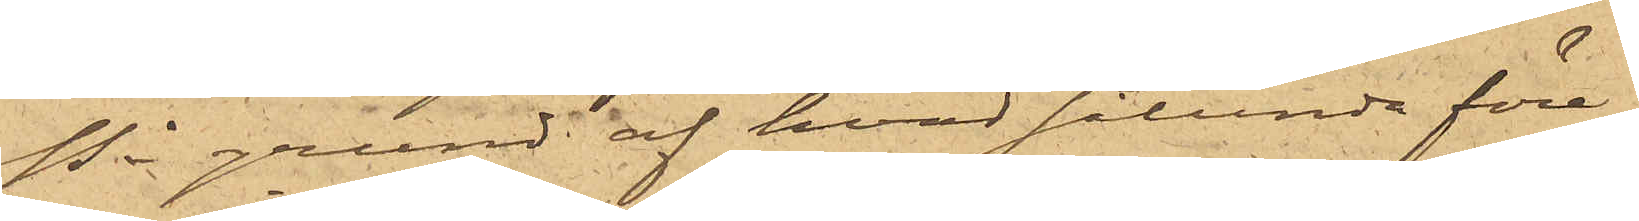På grund af hvad sålunda före¬
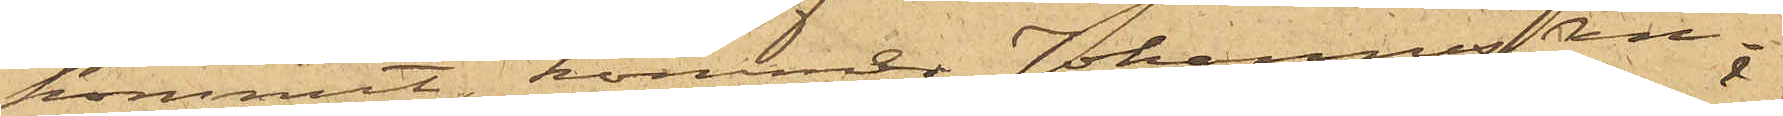kommit, kommer Johannes An¬
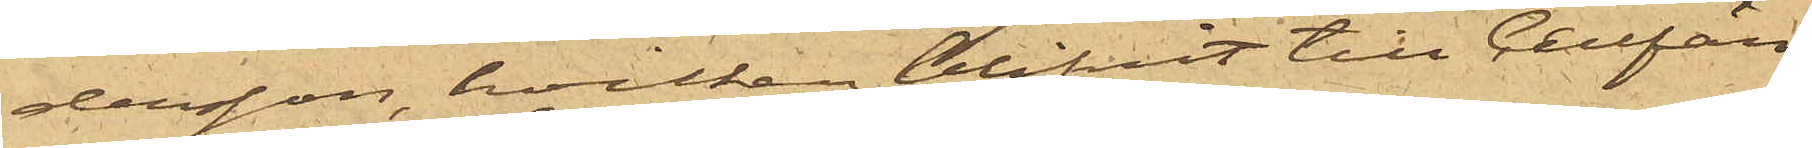dersson, hvilken blifvit till Cellfän¬
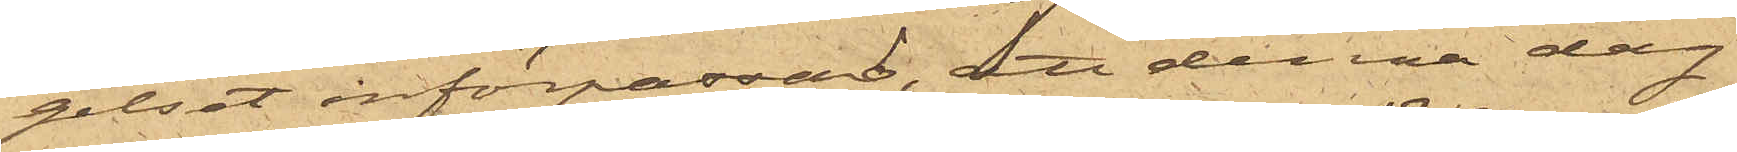gelset införpassad, att denna dag
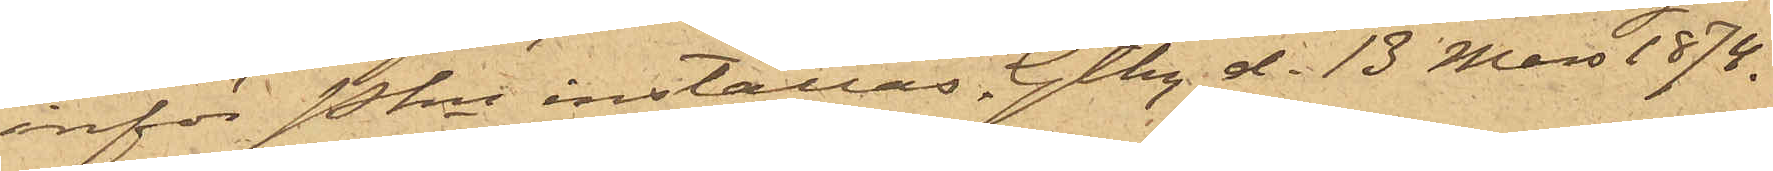inför Pkn inställas. Gtbg d. 13 Mars 1874.
